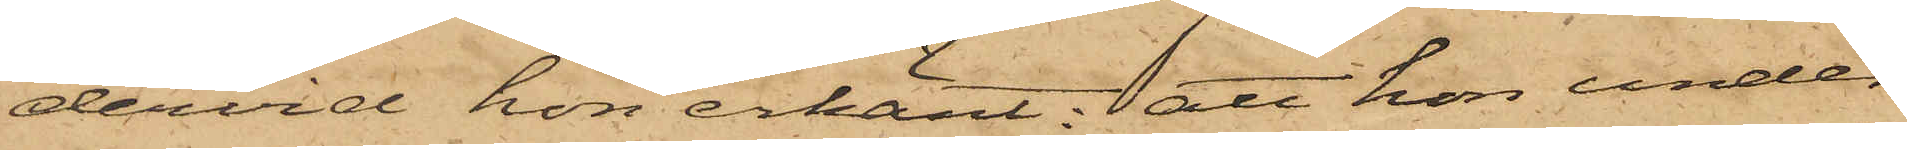dervid hon erkänt; att hon under
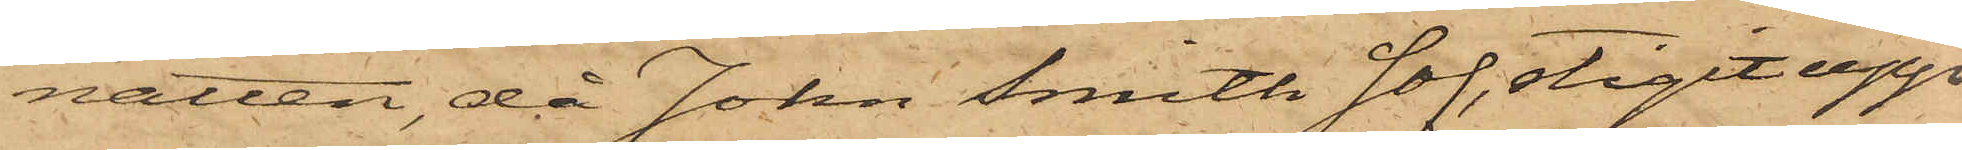natten, då John Smith sof, stigit upp
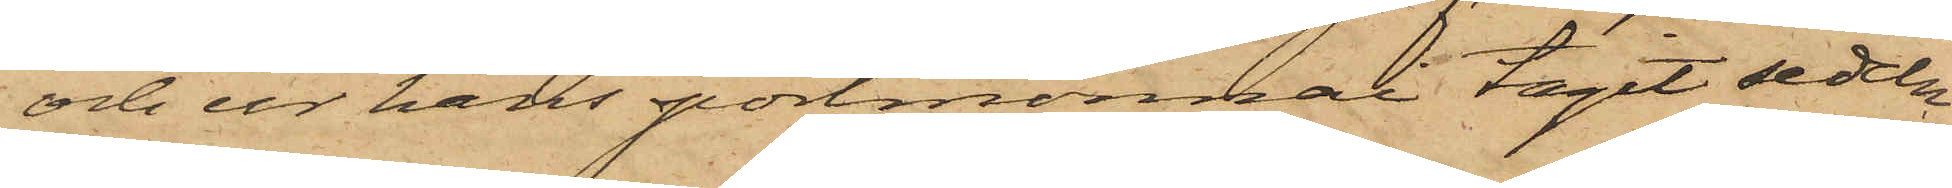och ur hans portmonnai tagit sedeln
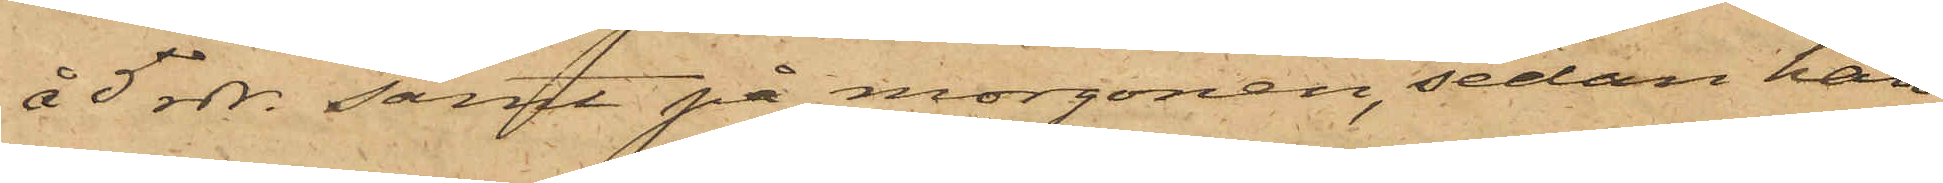å 5 rdr. samt på morgonen, sedan han
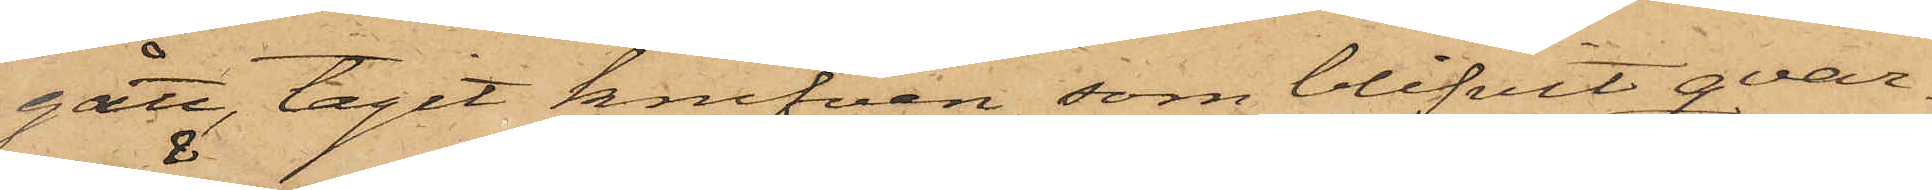gått, tagit knifven, som blifvit qvar¬
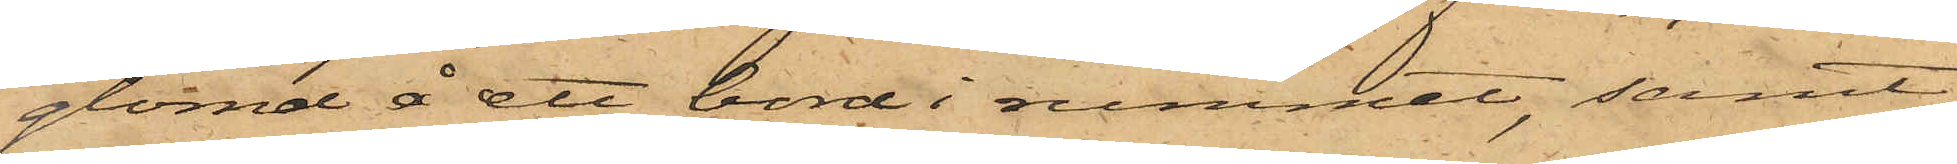glömd å ett bord i rummet, samt
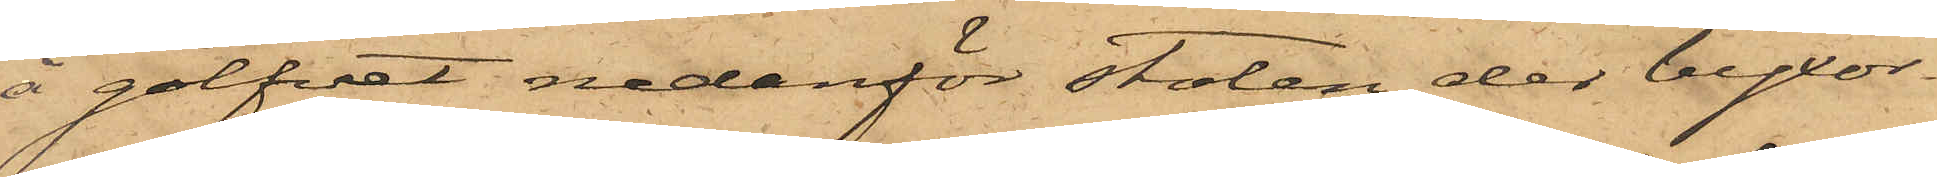å golfvet nedanför stolen der byxor¬
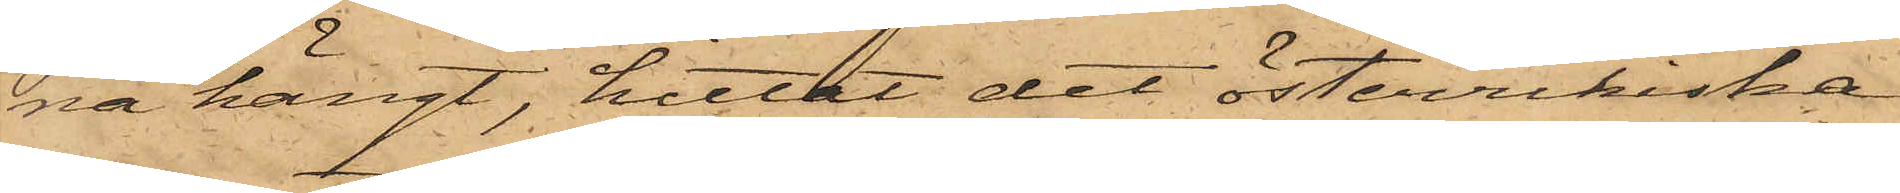na hängt, hittat det österrikiska
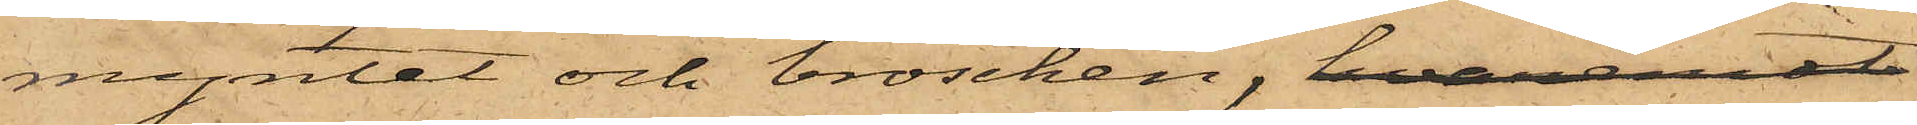myntet och broschen, hvaremot
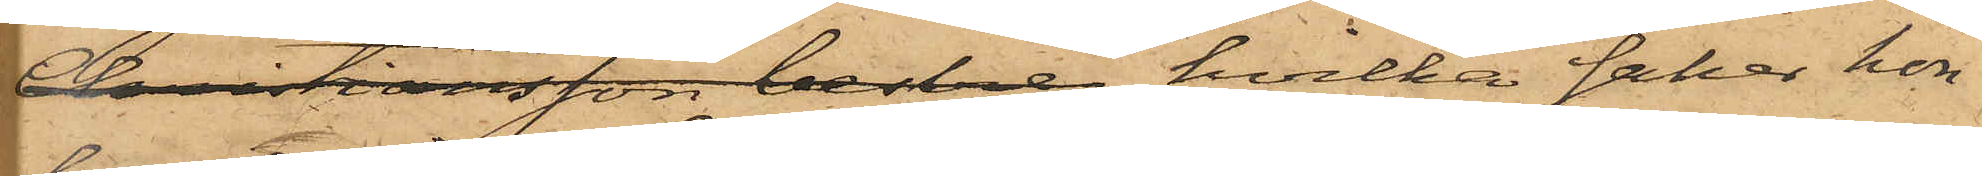Christiansson bestre hvilka saker hon
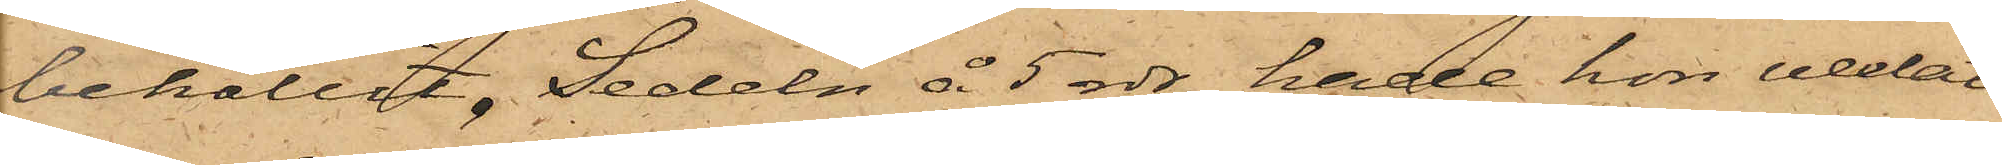behållit. Sedeln å 5 rdr hade hon vexlat
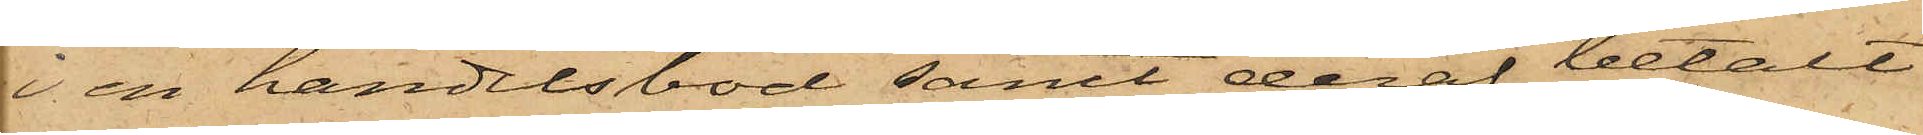i en handelsbod samt deraf betalt
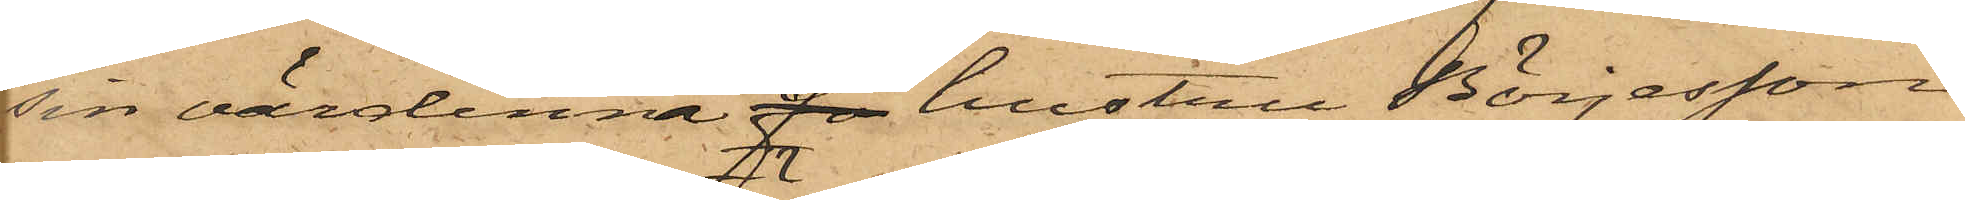sin värdinna fr hustru Börjesson
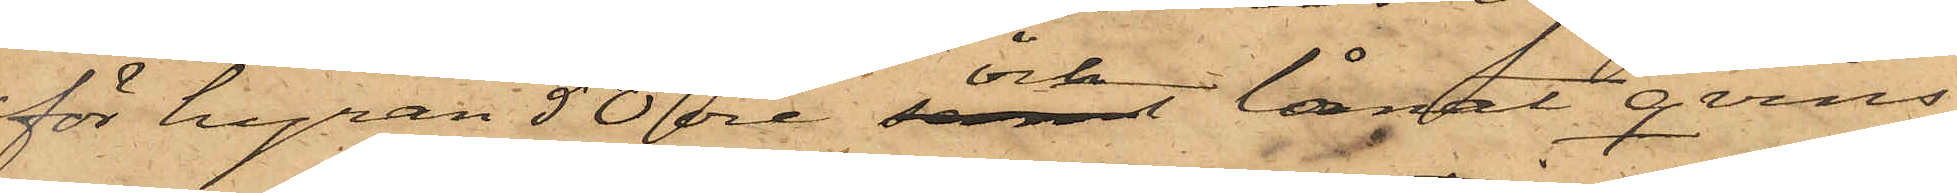för hyran 50 öre och lånat qvins¬
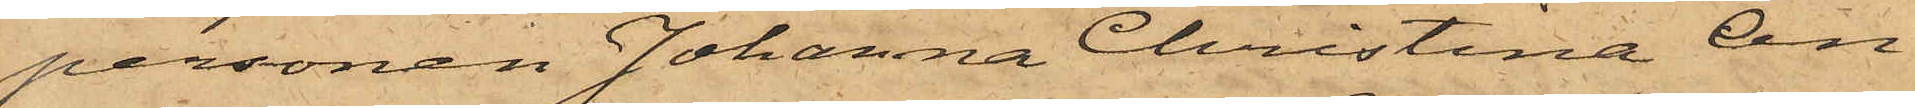personen Johanna Christina An¬
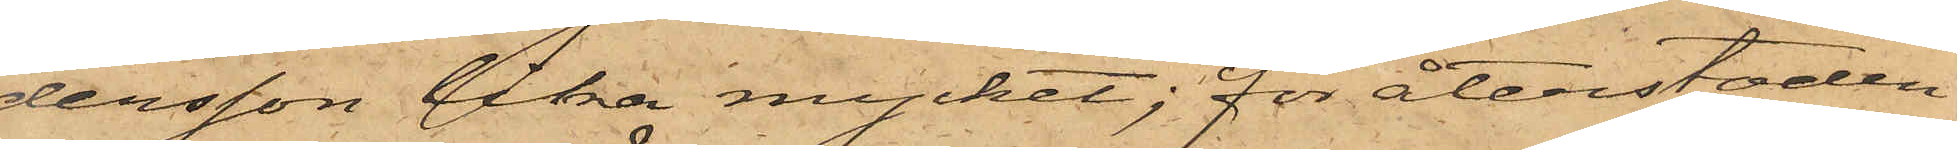dersson lika mycket; för återstoden
